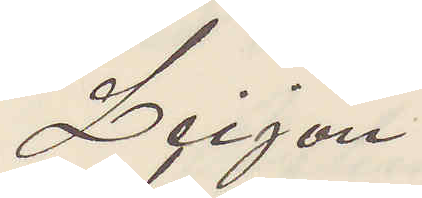Leijon
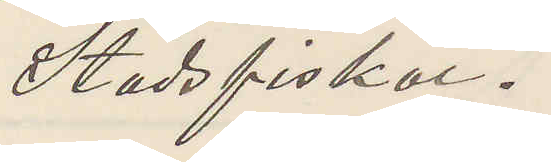Stadsfiskal.
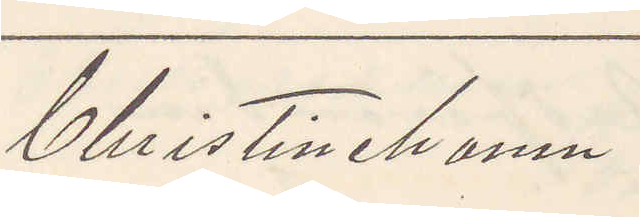Christinehamn
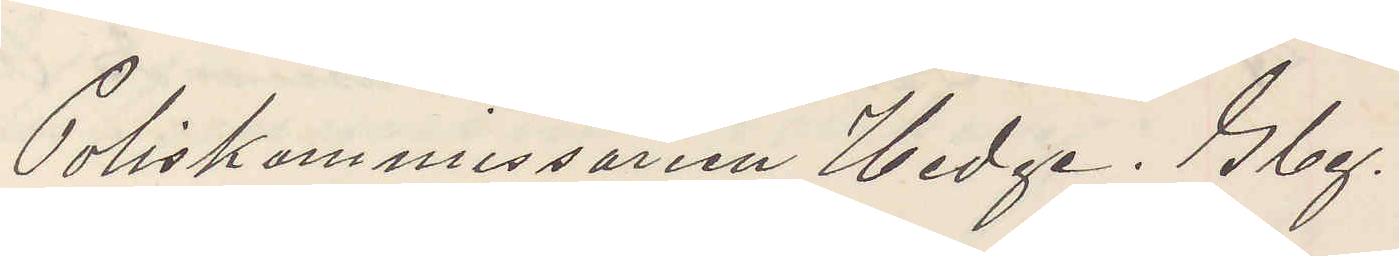Poliskommissarien Hedge. Gbg.
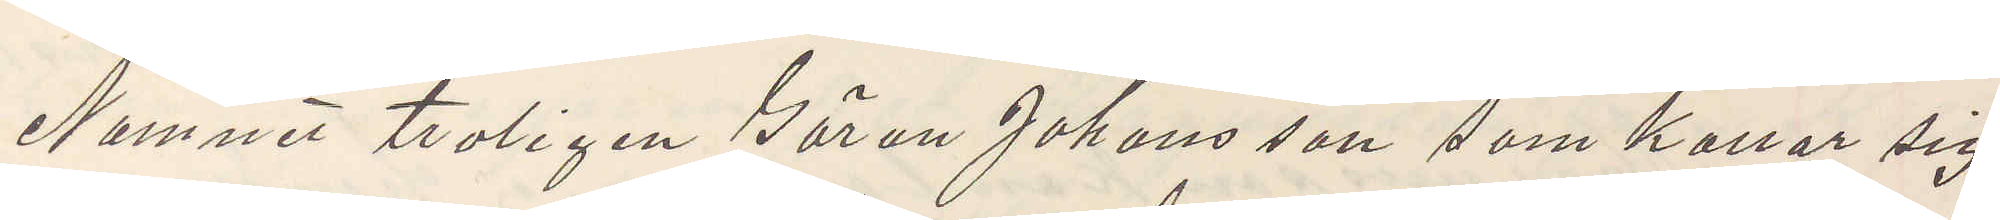Namnet troligen Göran Johansson som kallar sig
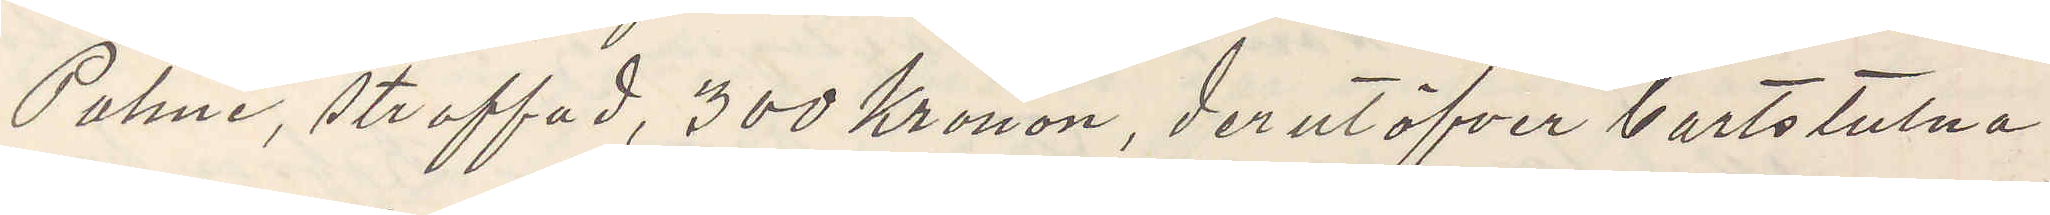Palmé, straffad, 300 Kronor, derutöfver bortstulna
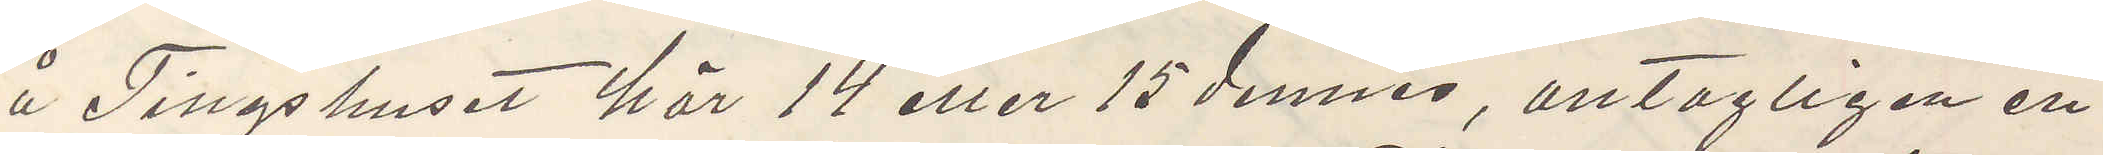å Tingshuset här 14 eller 15 dennes, antagligen en
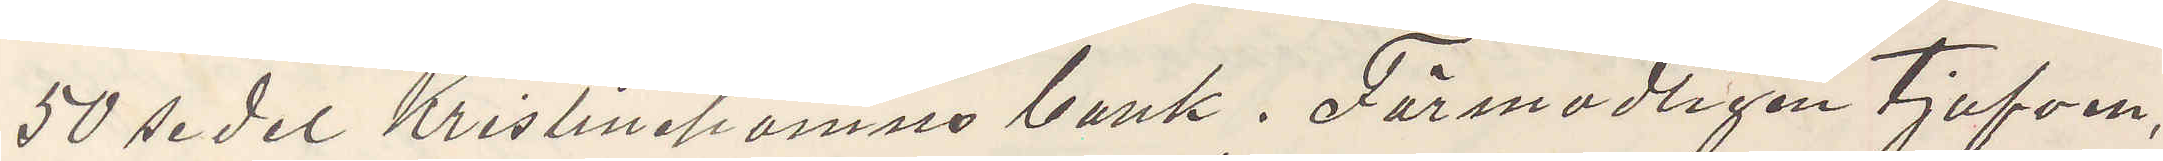50 sedel Kristinehamns bank. Förmodligen tjufven,
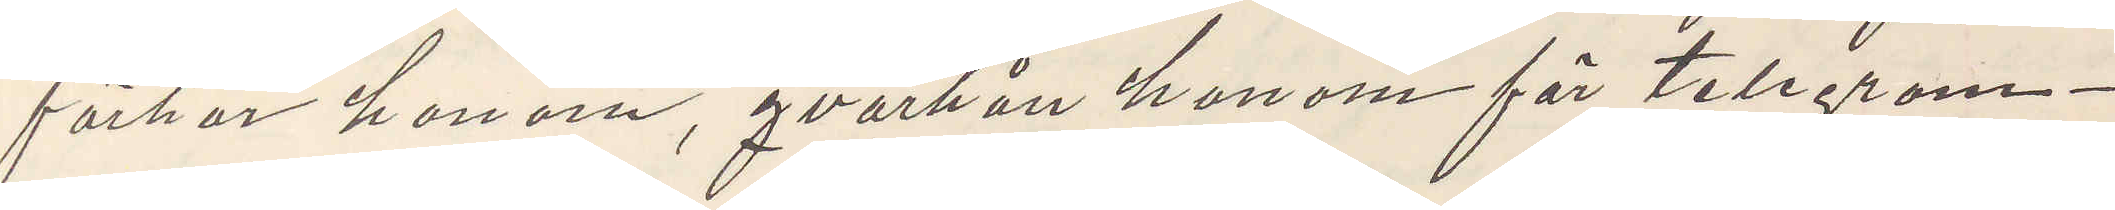förhör honom, qvarhåll honom för telegram¬
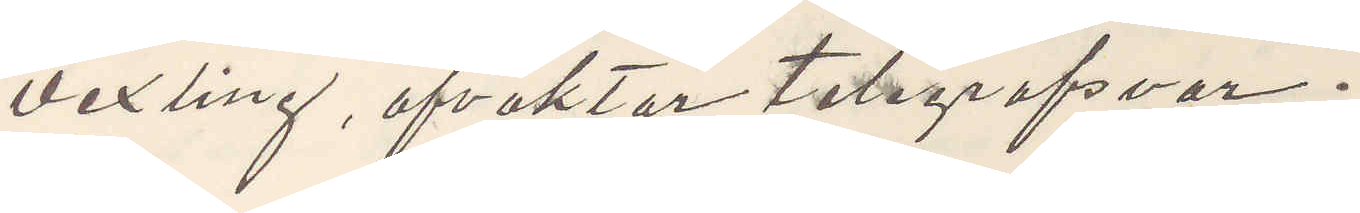vexling, afvaktar telegrafsvar.
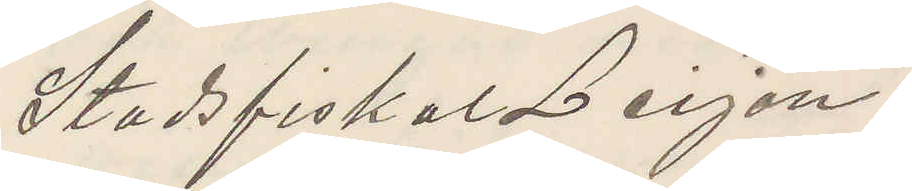Stadsfiskal Leijon
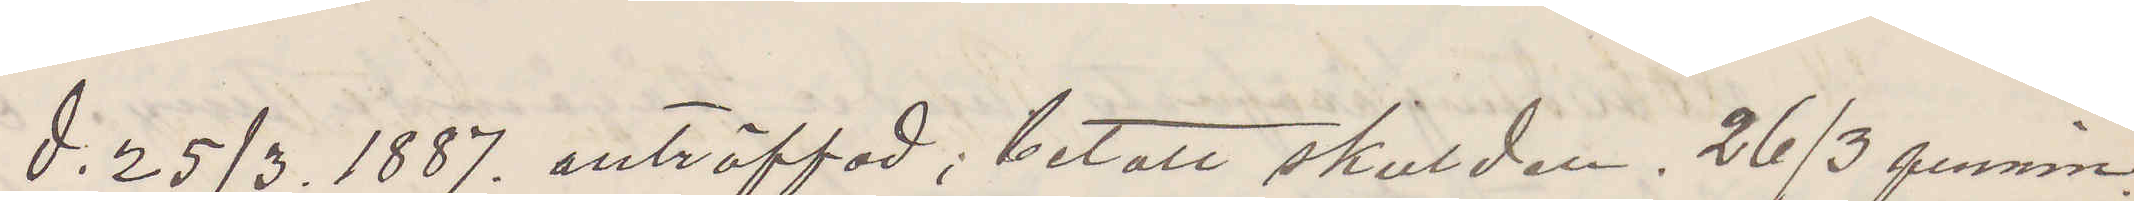d. 25/3. 1887. anträffad; betalt skulden. 26/3 pennin¬
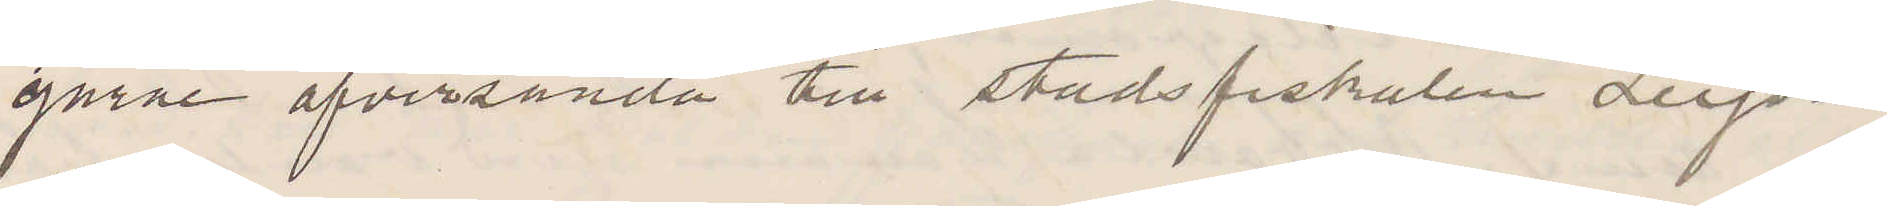garne öfversända till stadsfiskalen Leijon
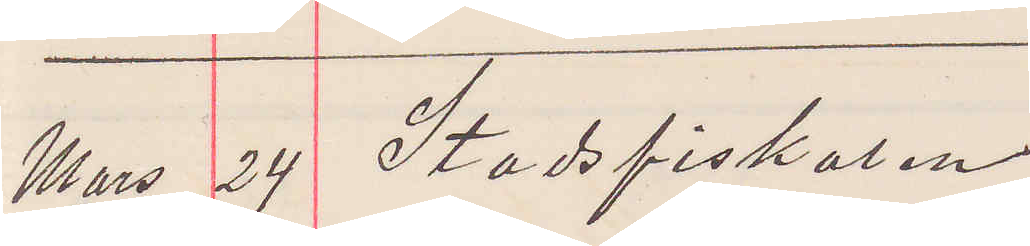Mars 24 Stadsfiskalen
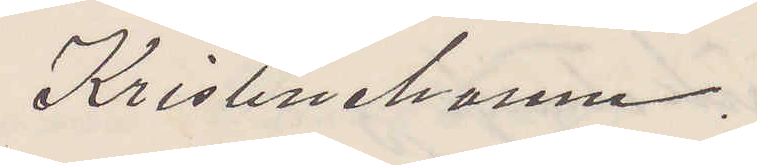Kristinehamn.
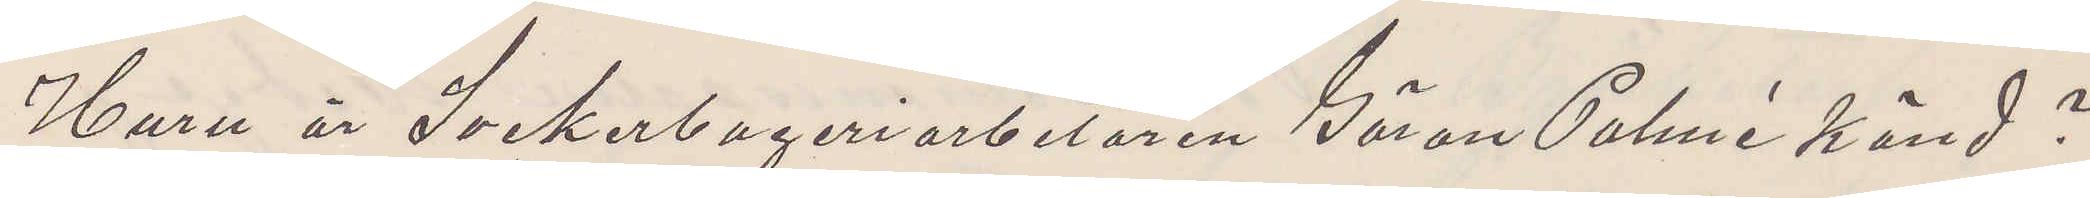Huru är Sockerbageriarbetaren Göran Palmé känd?
